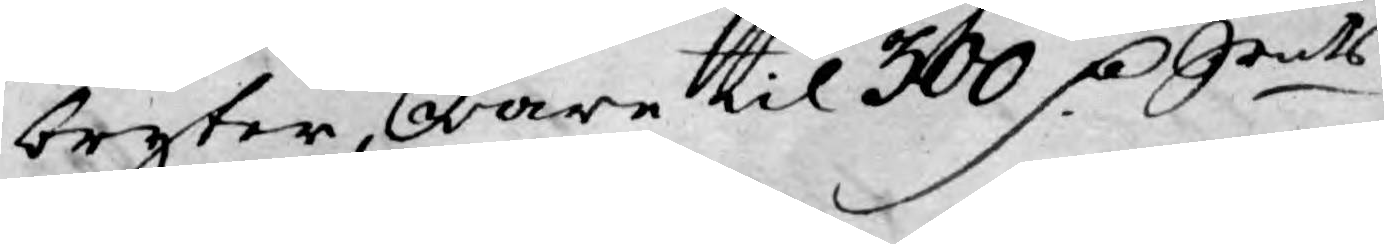bryter ware til 300 D:r Srmts
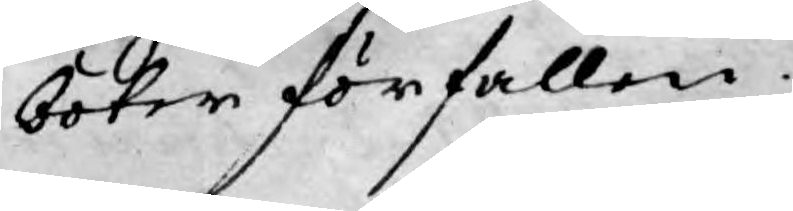böter förfallen.
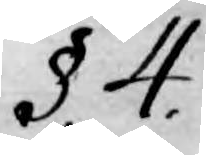§ 4.
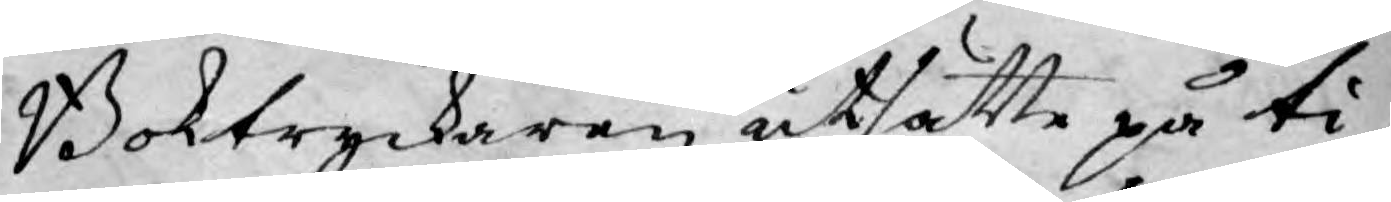Boktryckaren utsätte på ti¬
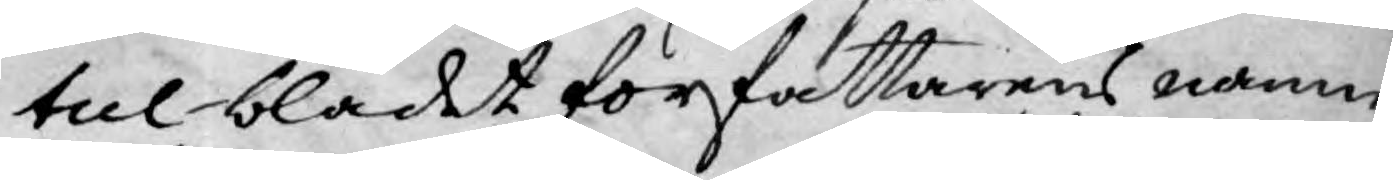tul bladet författarens namn,
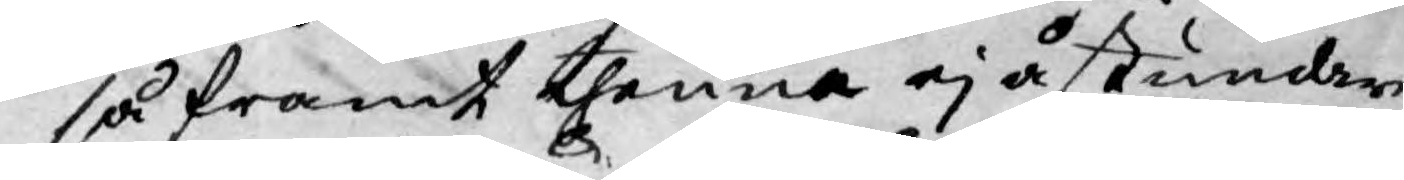så framt thenna ej åstundar
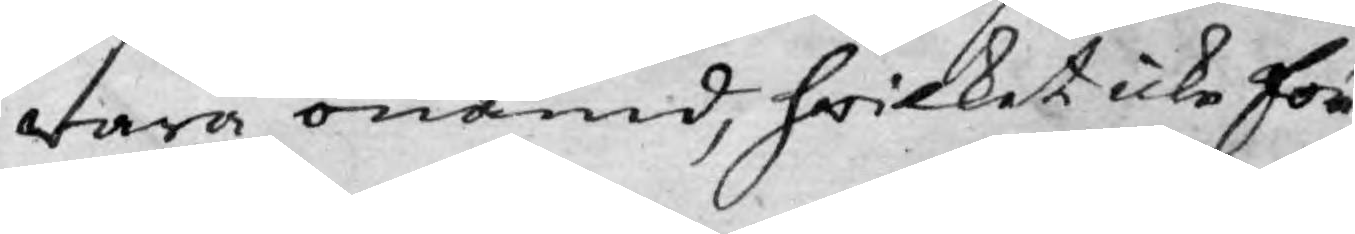wara onämd, hwilket icke för
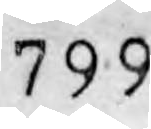799
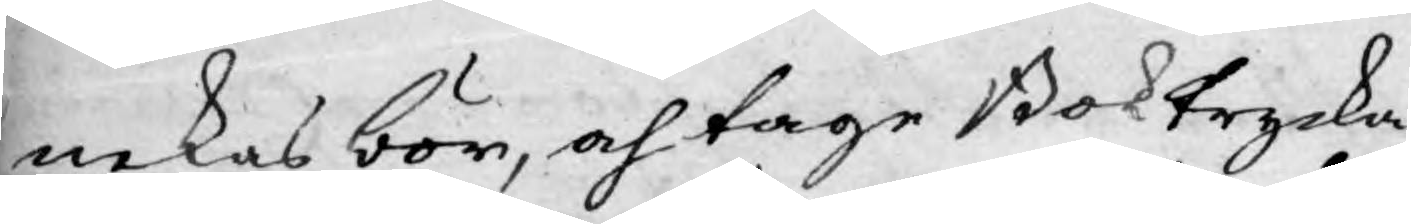nekas bör, och tage Boktrycka¬
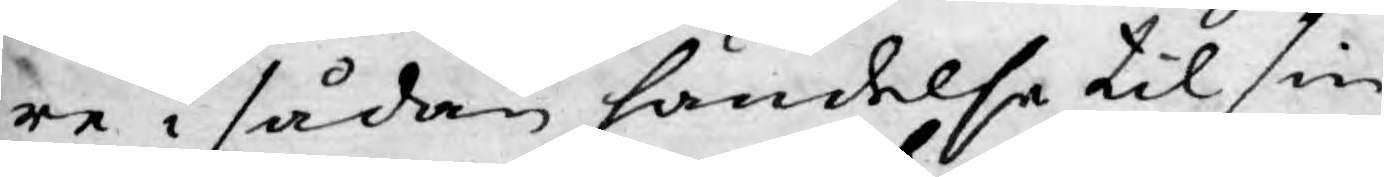re i sådan händelse til sin
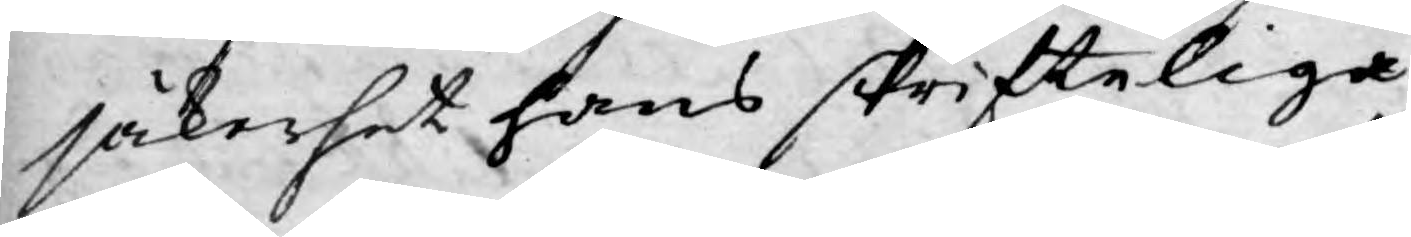säkerhet hans skrifteliga
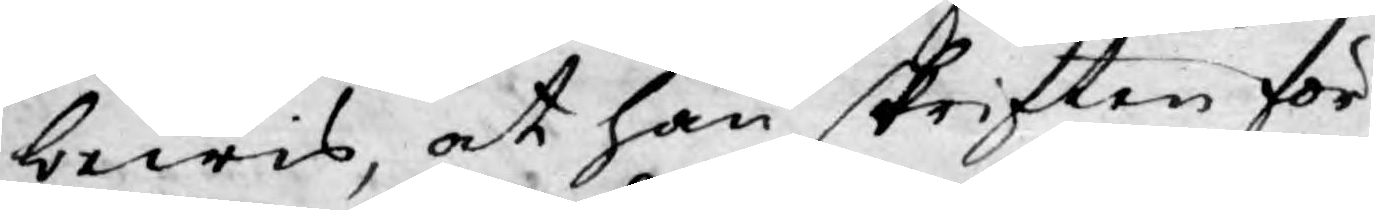bewis, at han skriften för¬
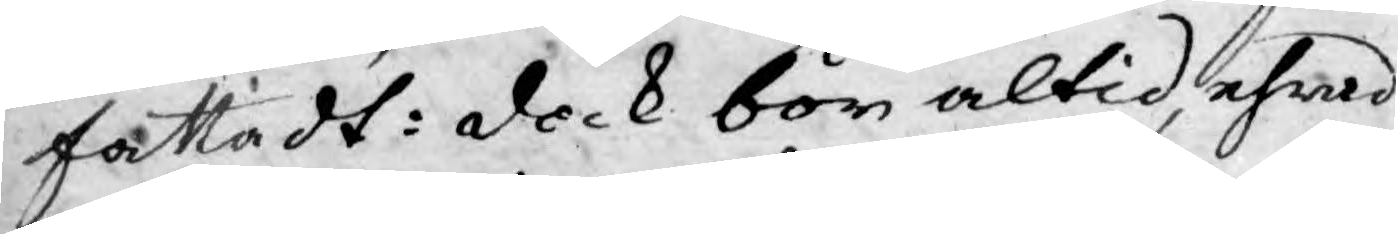fattadt: dock bör altid, ehwad
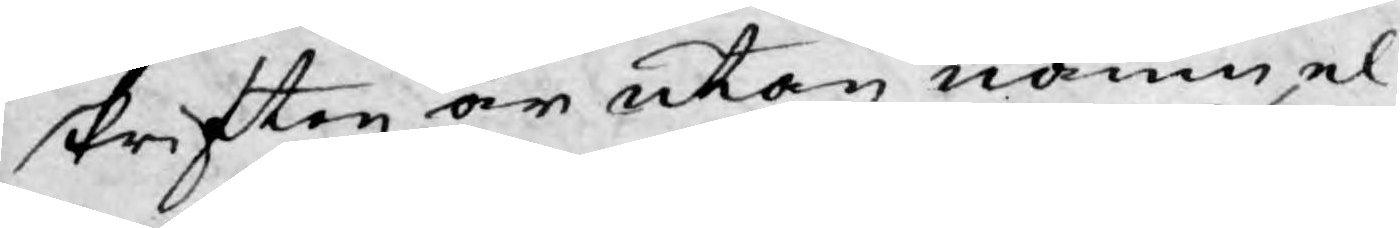skriften är utan namn, el¬
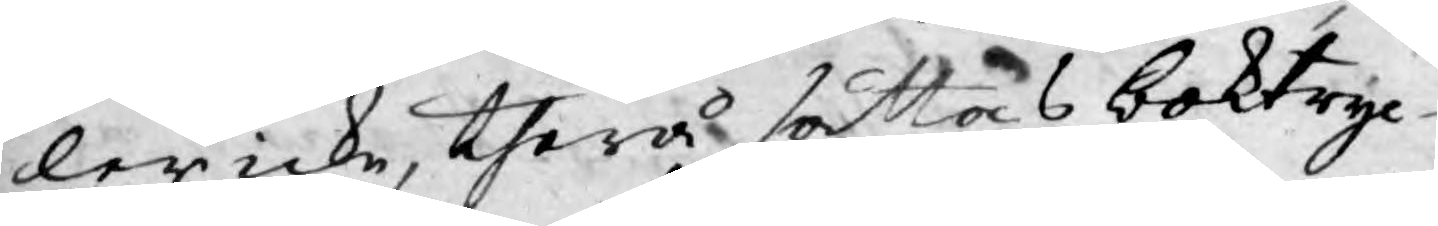ler icke, therå sättas boktryc¬
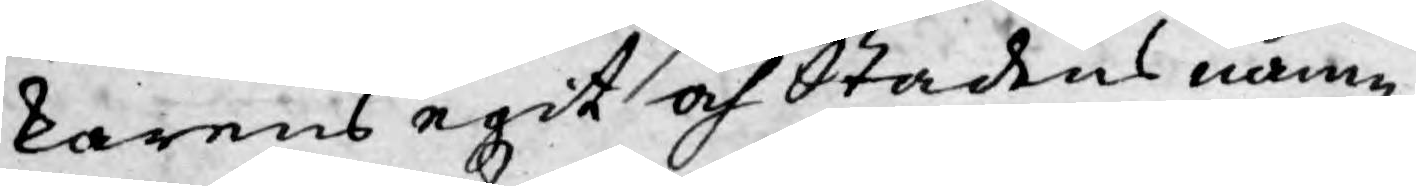karens egit och Stadens namn,
